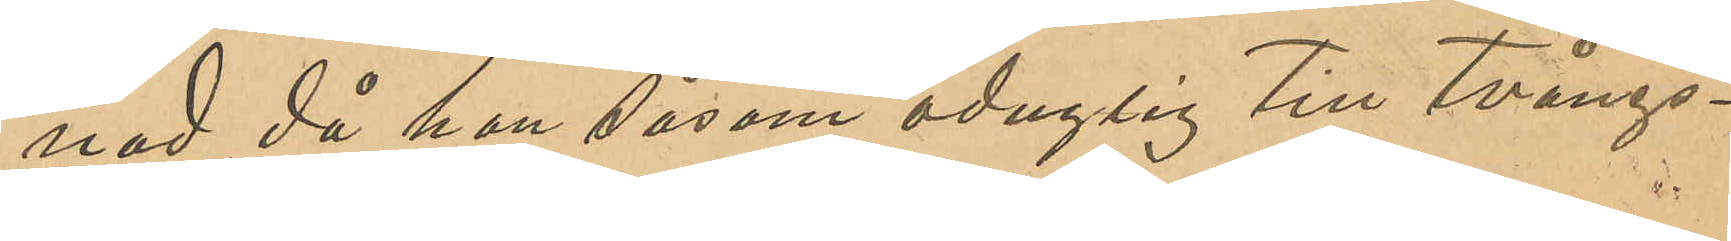nad, då han som såsom oduglig till tvångs¬
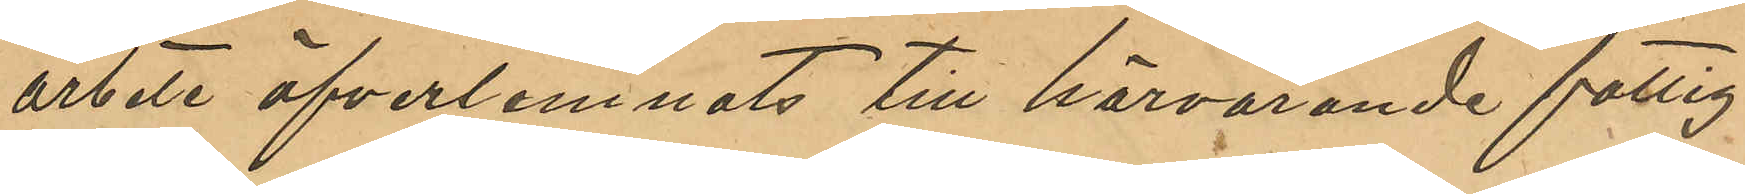arbete öfverlemnats till härvarande fattig¬
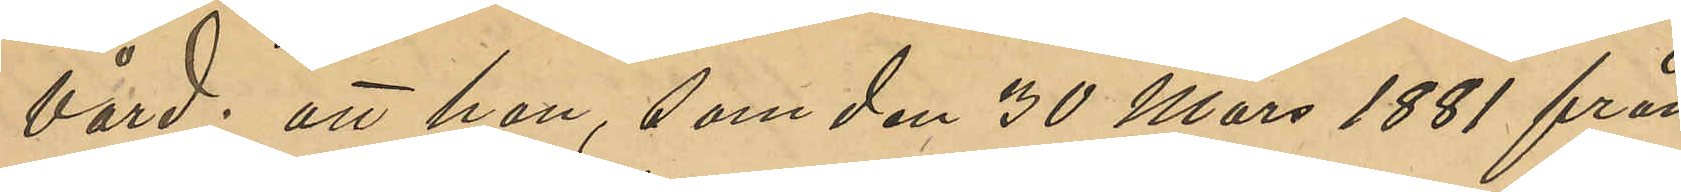vård; att han, som den 30 Mars 1881 från
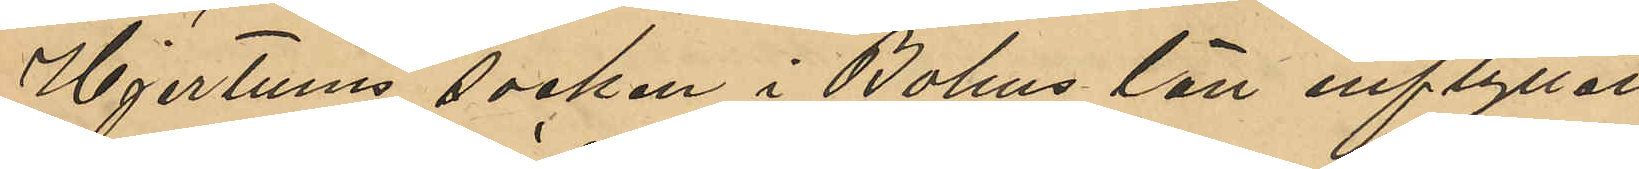Hjertums socken i Bohus län inflyttat
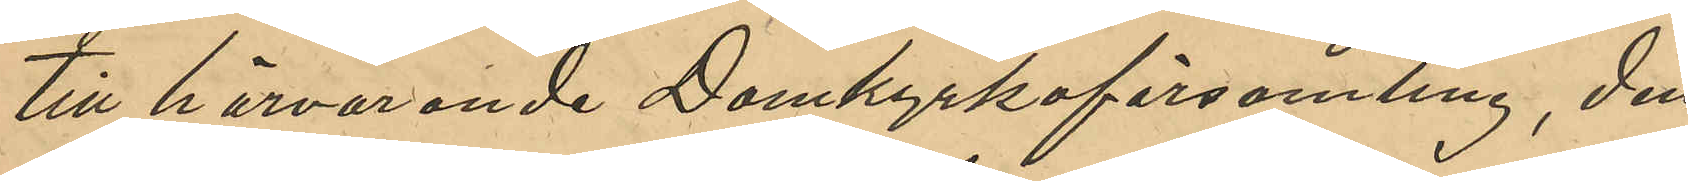till härvarande Domkyrkoförsamling, den
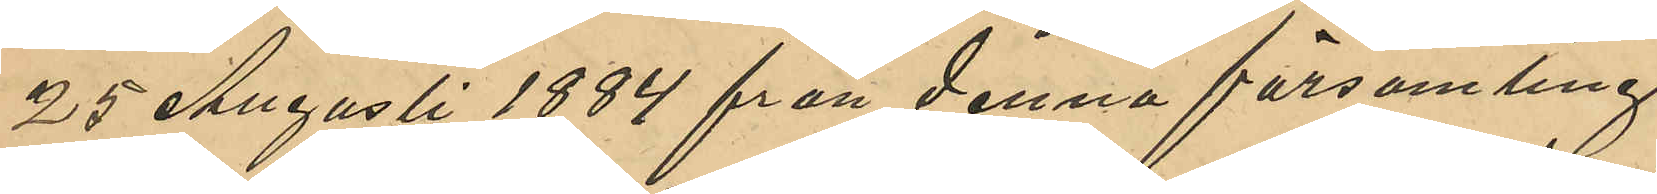25 Augusti 1884 från denna församling
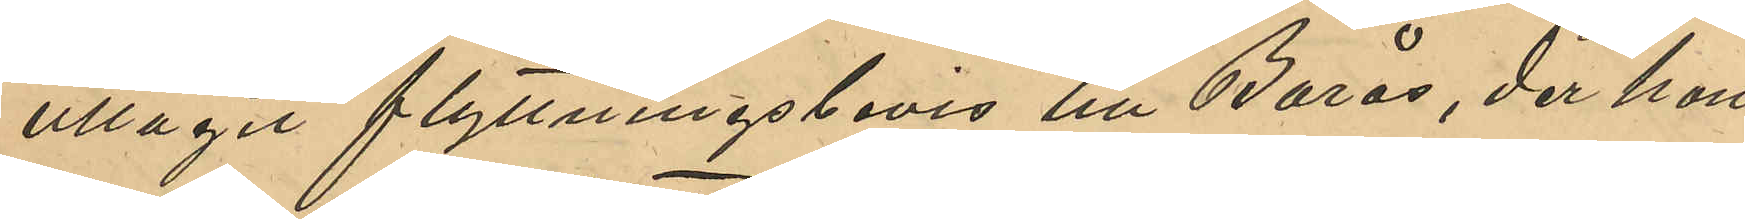uttagit flyttningsbevis till Borås, der han
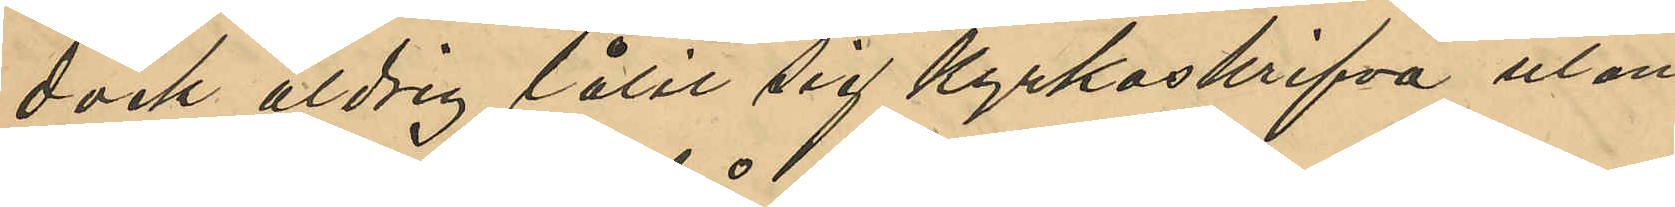dock aldrig låtit sig kyrkoskrifva utan
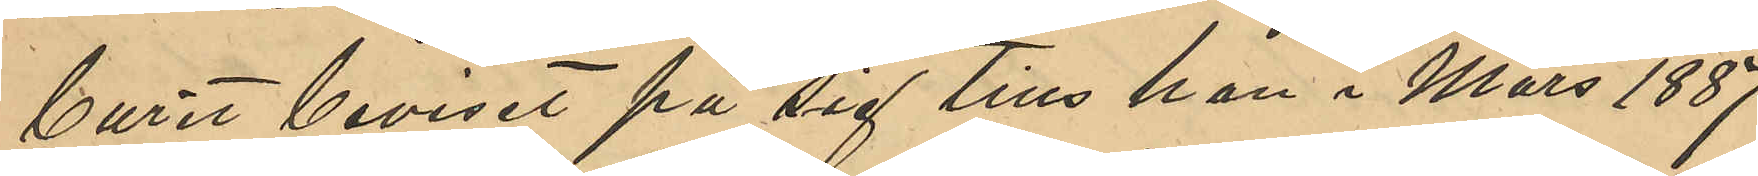burit beviset på sig tills han i Mars 1887
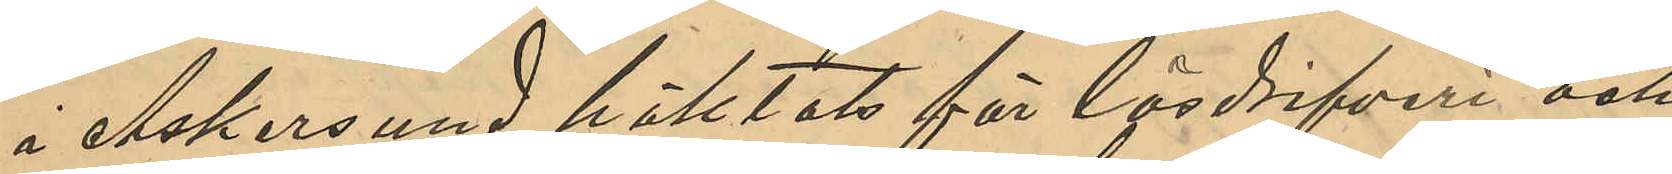i Askersund häktades för lösdrifveri och
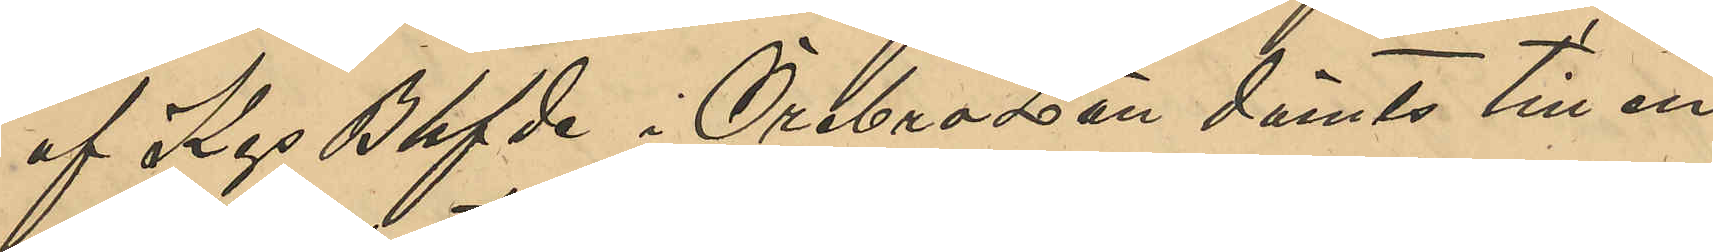af Kgs Bhfde i Örebro Län dömts till en
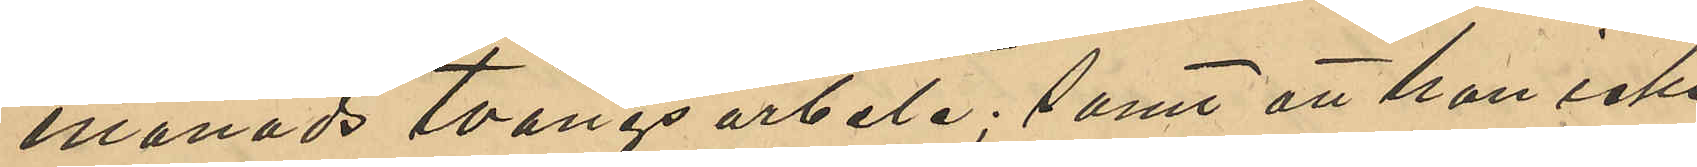månads tvångsarbete; samt att han icke
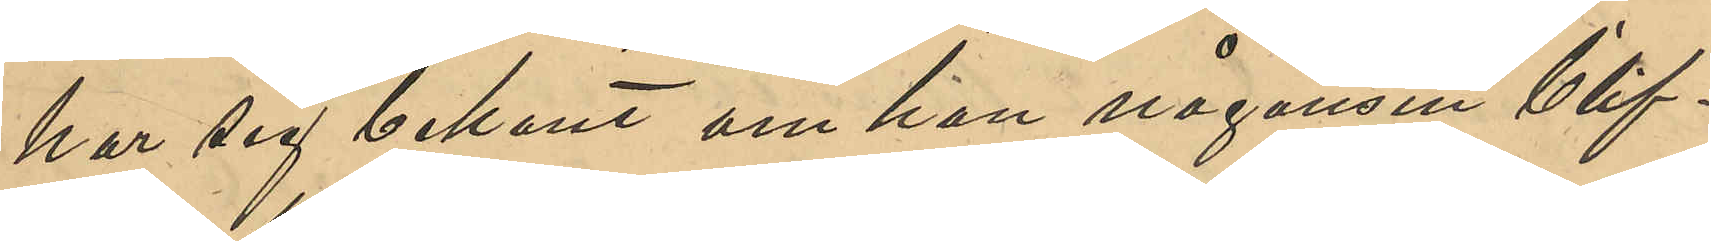har sig bekant om han någonsin blif¬
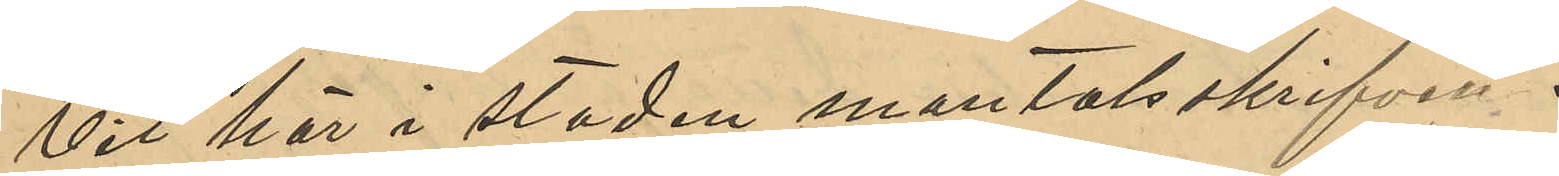vit här i staden mantalsskrifven.
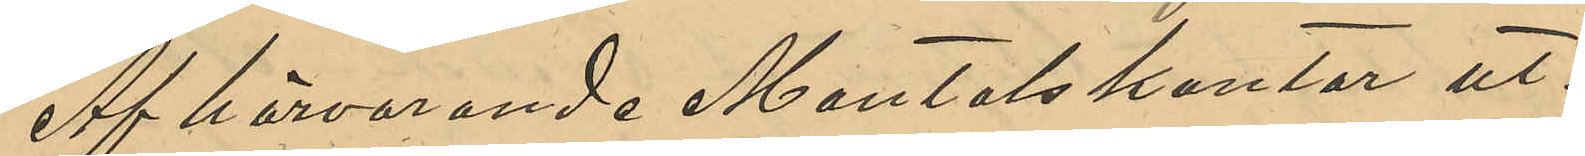Af härvarande mantalskontor ut¬
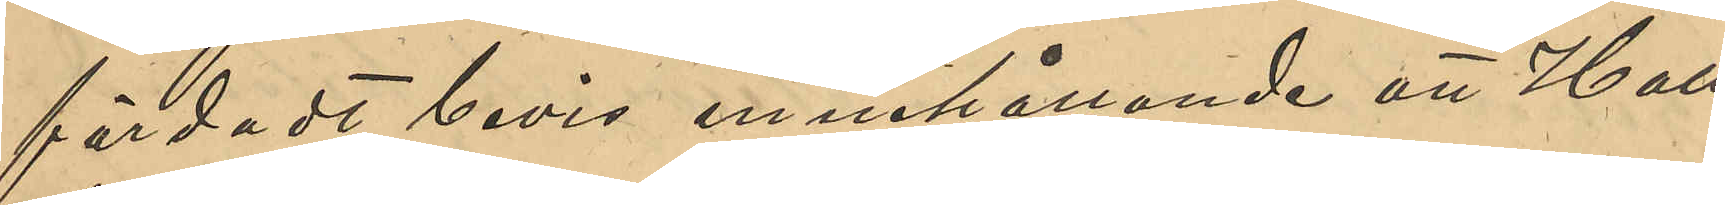färdadt bevis innehållande att Hall¬
